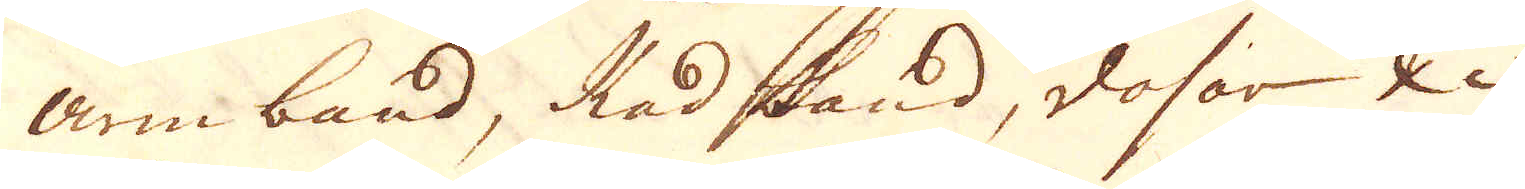armband, Radband, dosor &c.
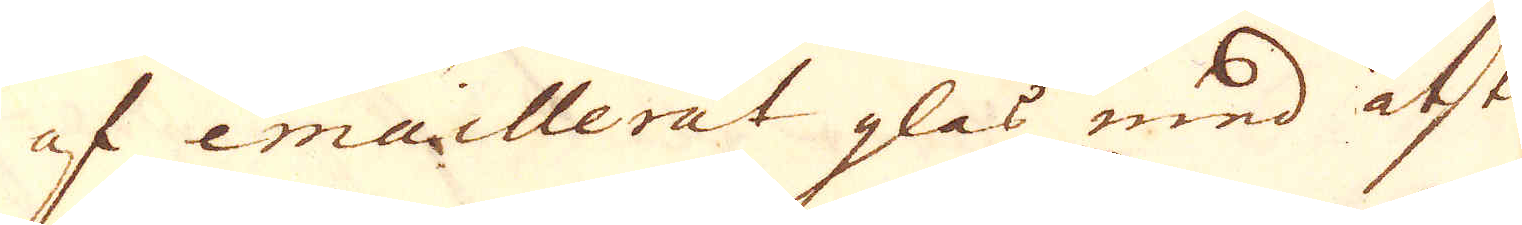af emaillerat glas med åtski-
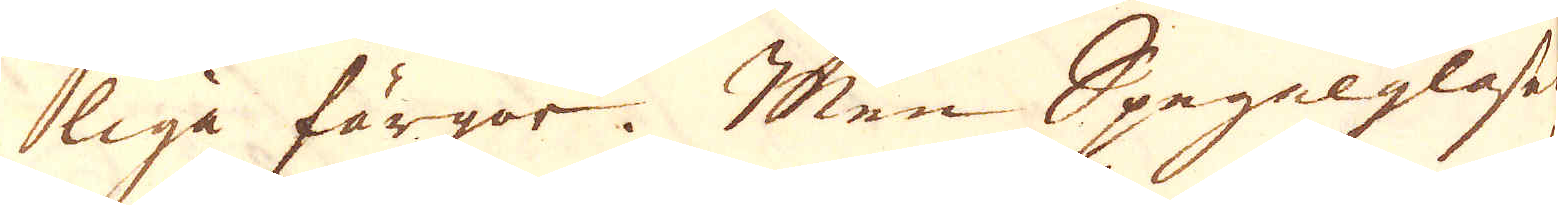liga färgor. Men Spegelglaset
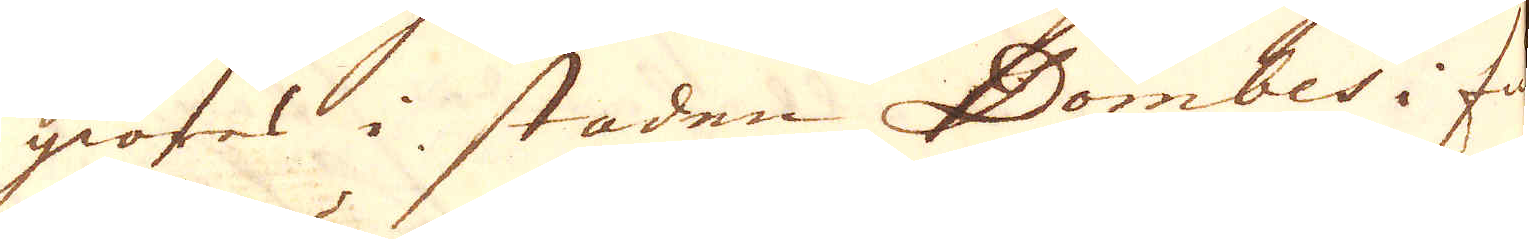giöres i staden Dombes i fur-
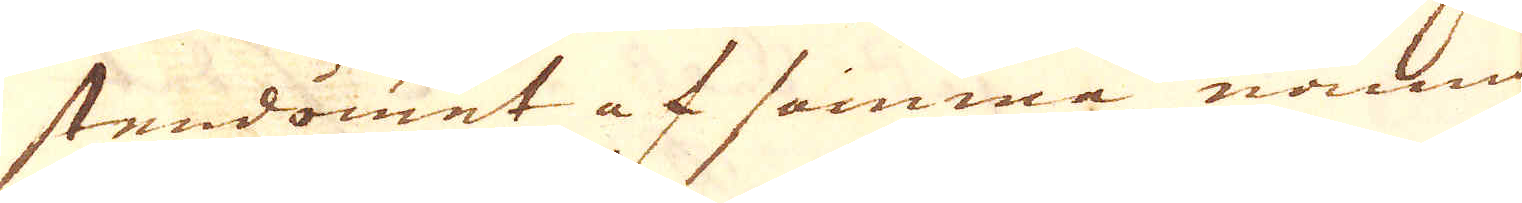stendömet af samma namn
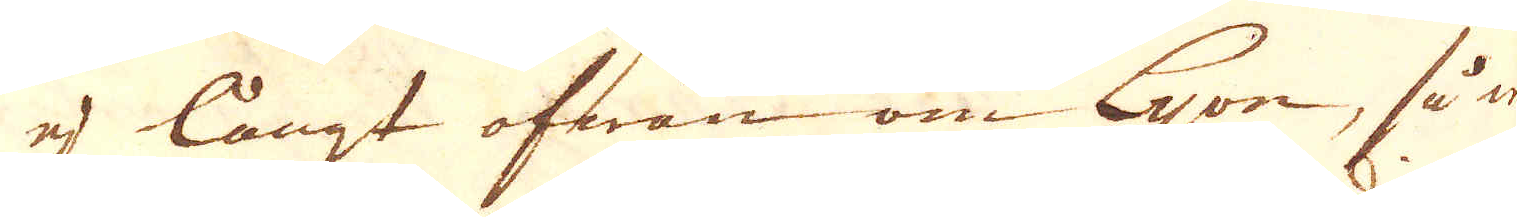ej långt ofwan om Lyon, så en
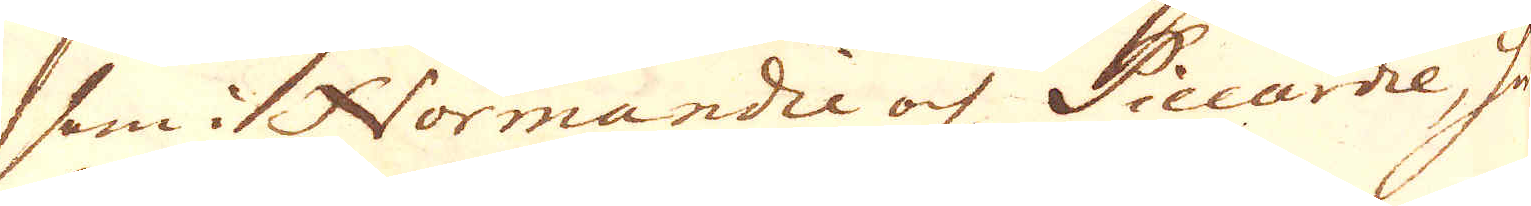som i Normandie och Piccardie, hwil-
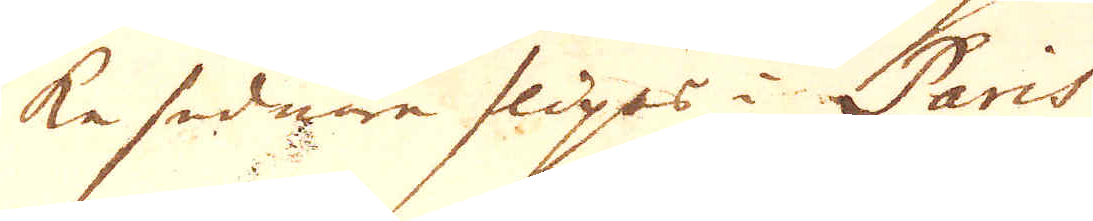ke sednare klipes i Paris
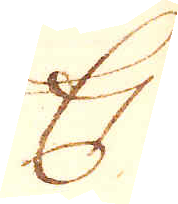Ej
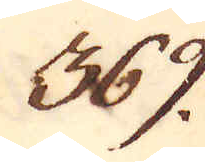369.
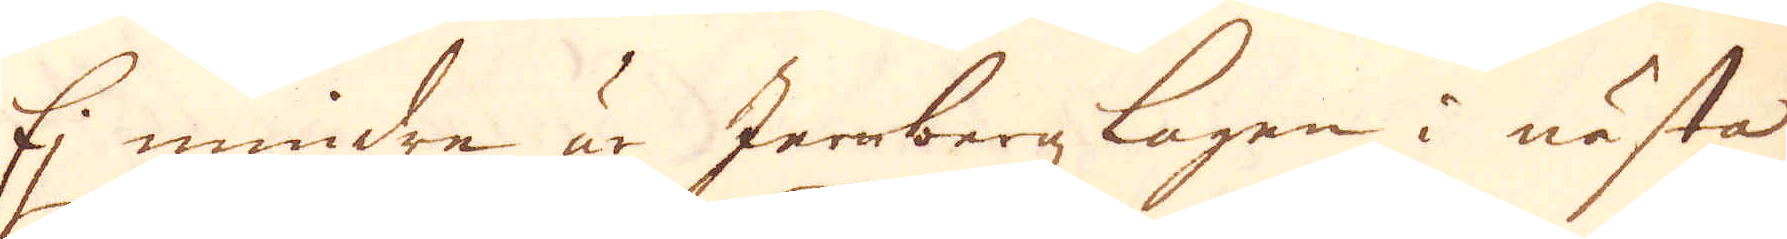Ej mindreär Jernbergzlagen i nästa
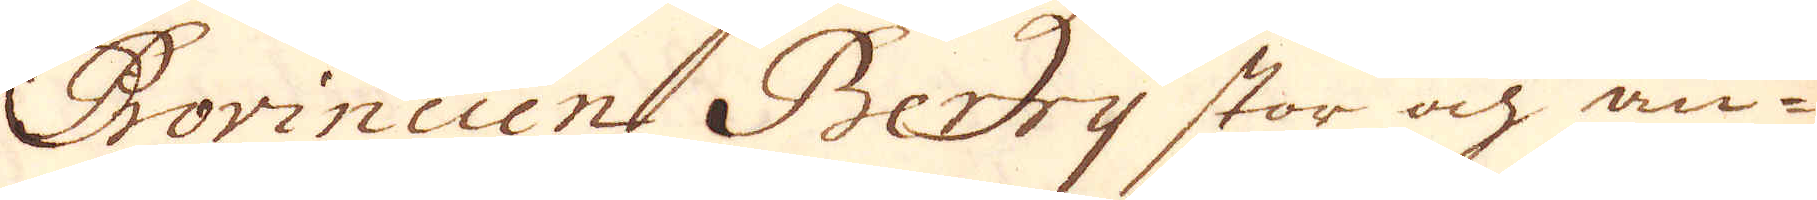Provincien Berry stor och an-
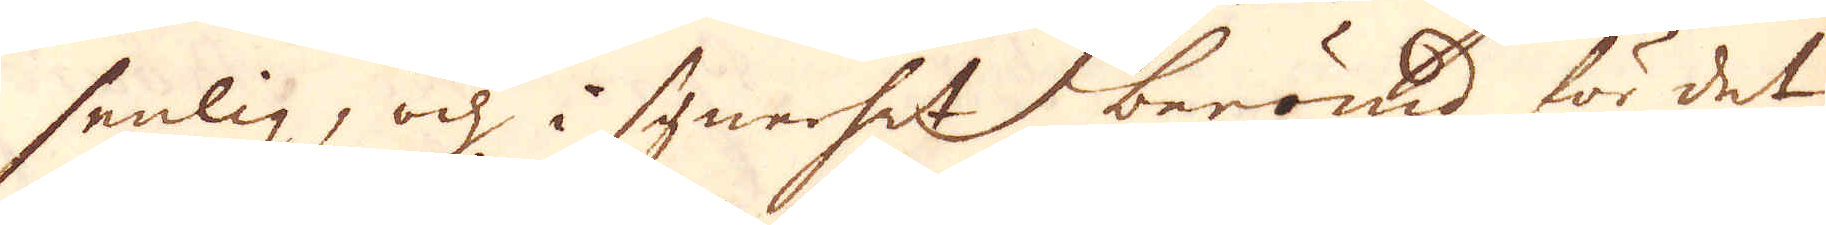senlig, och i synerhet berömd för det
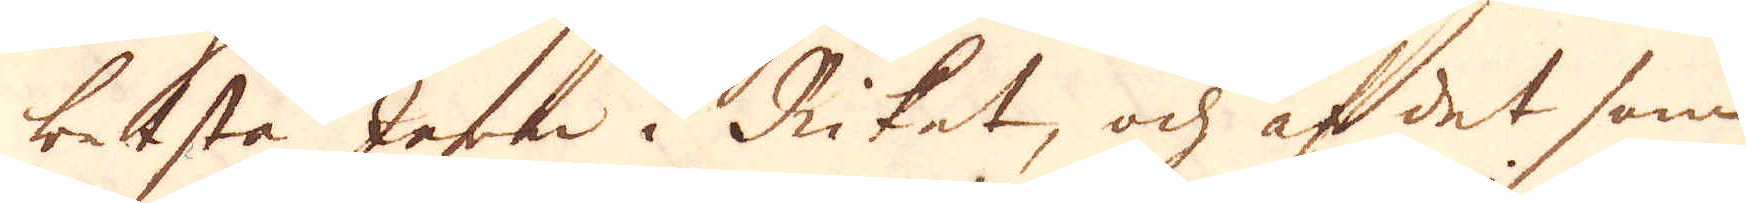besta Jern i Riket, och af det som
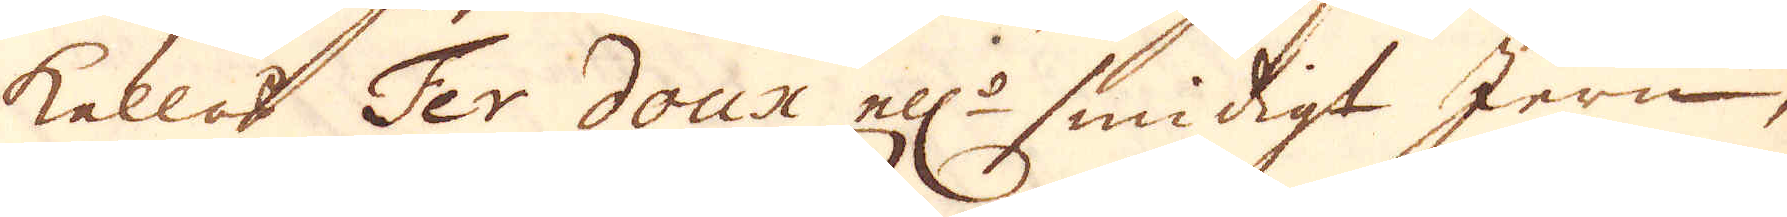kallas Fer doux ell:r smidigt Jern,
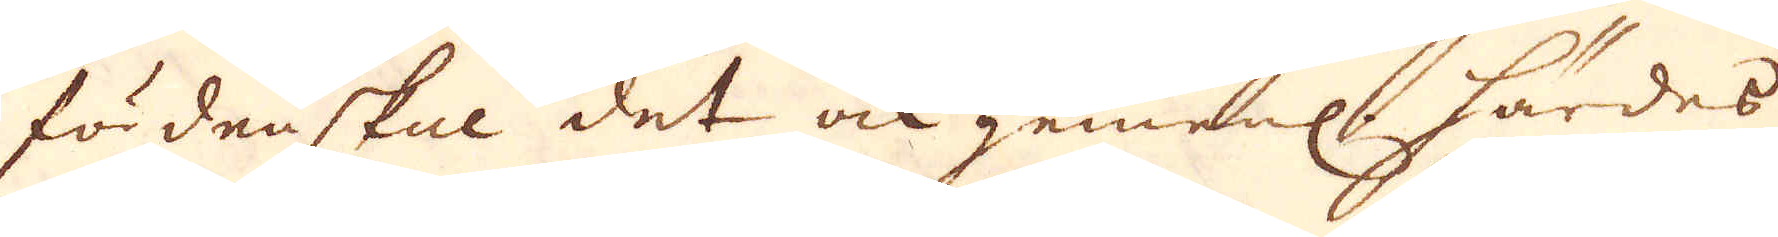fördenskul det ock gemenl. härdes
